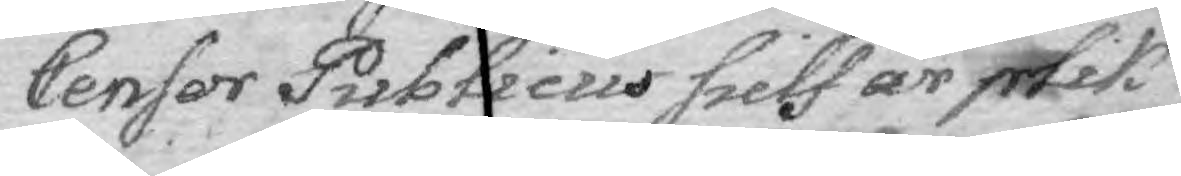Censor Publicus sielf är plik¬
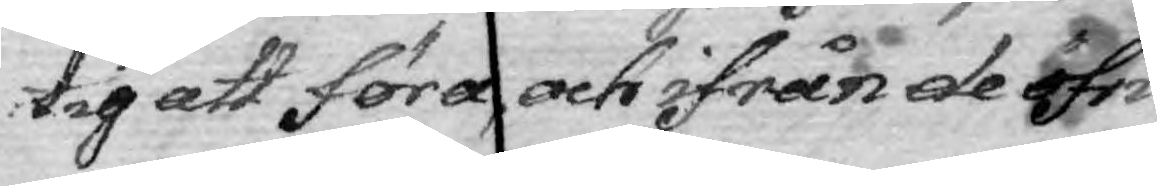tig att föra och ifrån de öfri¬
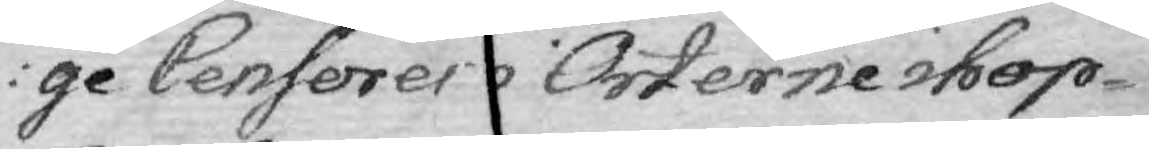ge Censorer i Orterne ihop¬
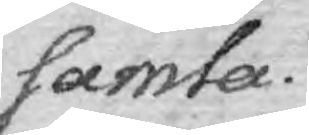samla.
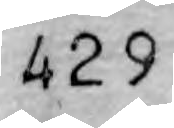429
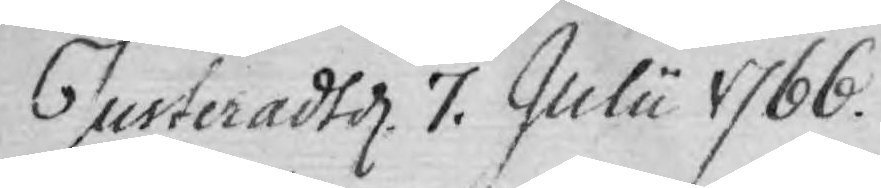Justeradt d. 7. Julii 1766.
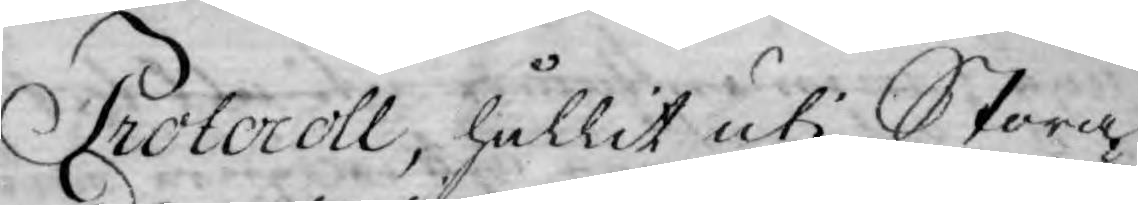Protocoll, hållit uti Stora
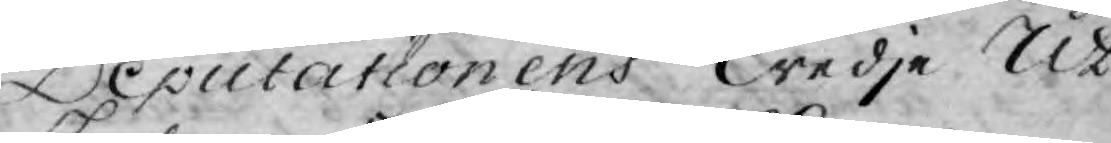Deputationens Tredje Ut¬
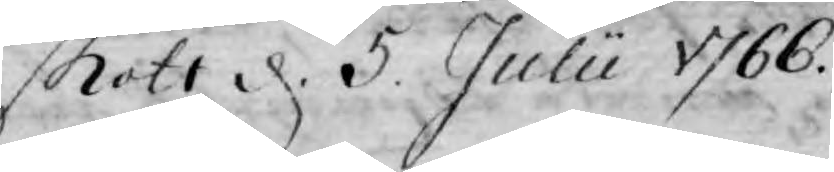skott d. 5. Julii 1766.
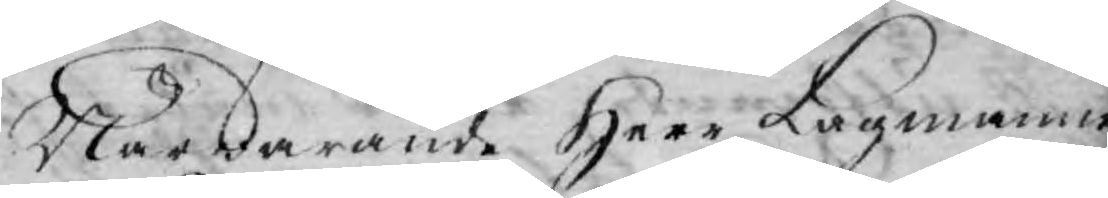Närwarande Herr Lagmannen
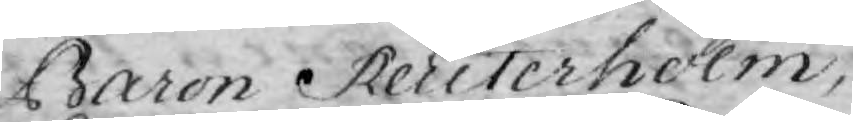Baron Reuterholm,
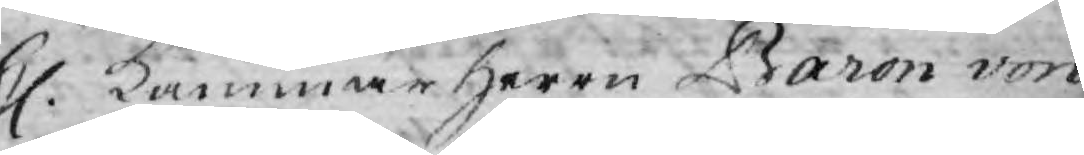H. Kammar Herree Baron von
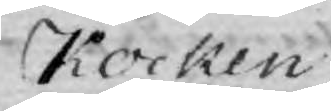Kocken,
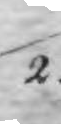2.
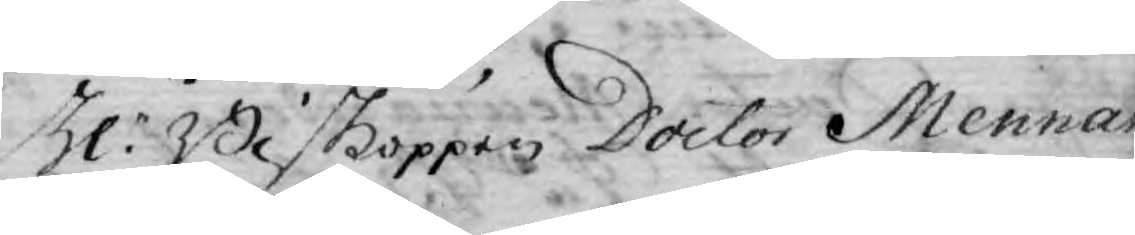Hr. Bißkoppen Doctor Mennan¬
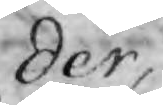der,
